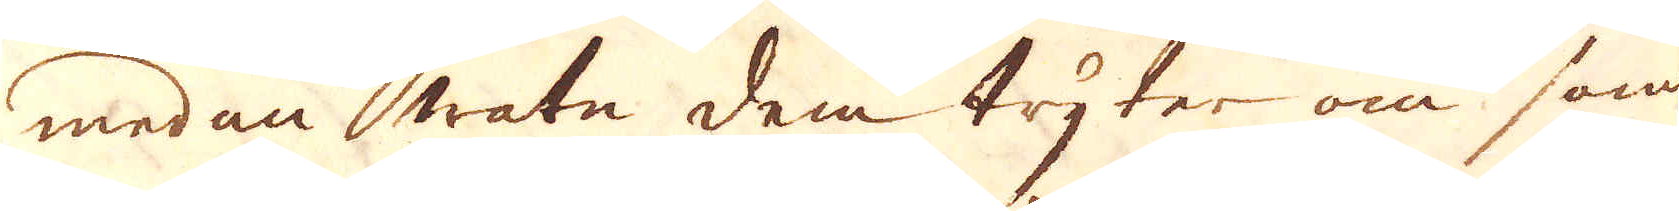medan watn dem tryter om som-
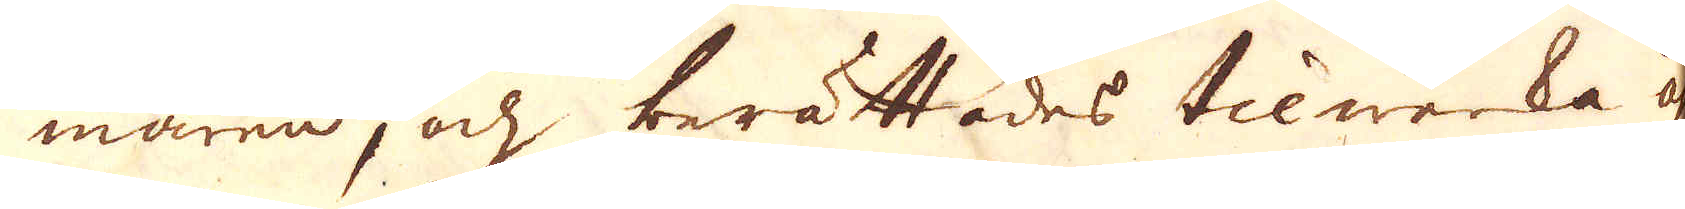maren, och berättades tilwerka åhrligen
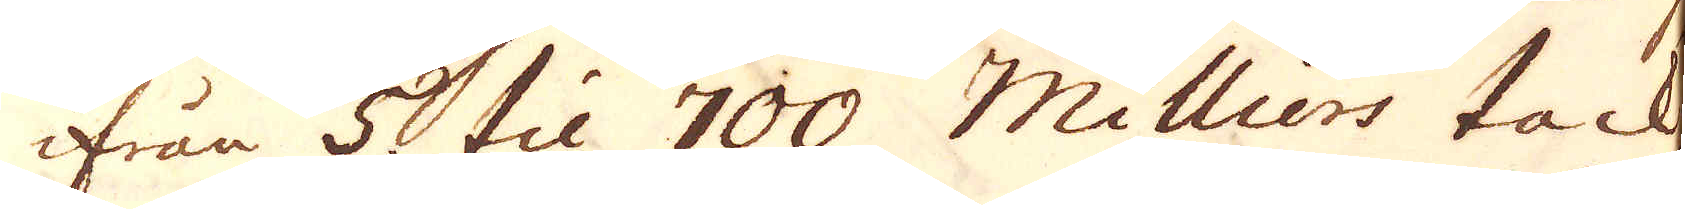ifrån 5 til 700 Milliers tack-
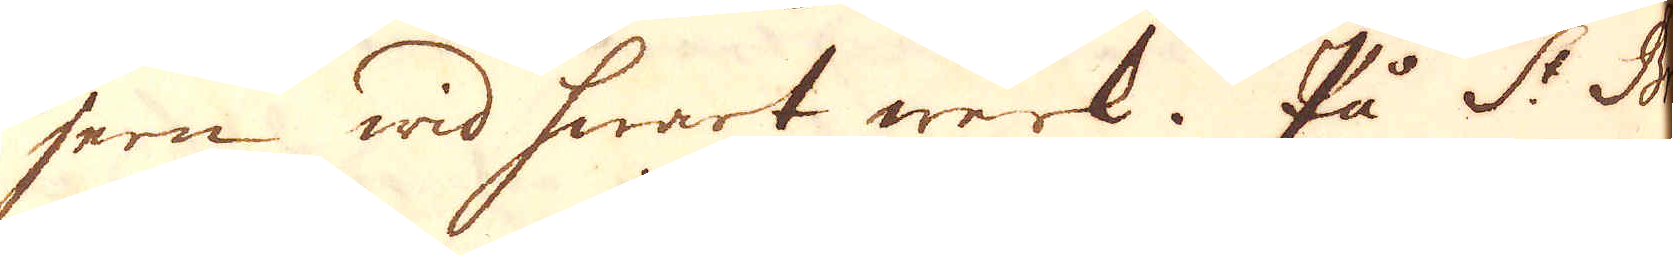jern wid hwart werk. På St Bri-
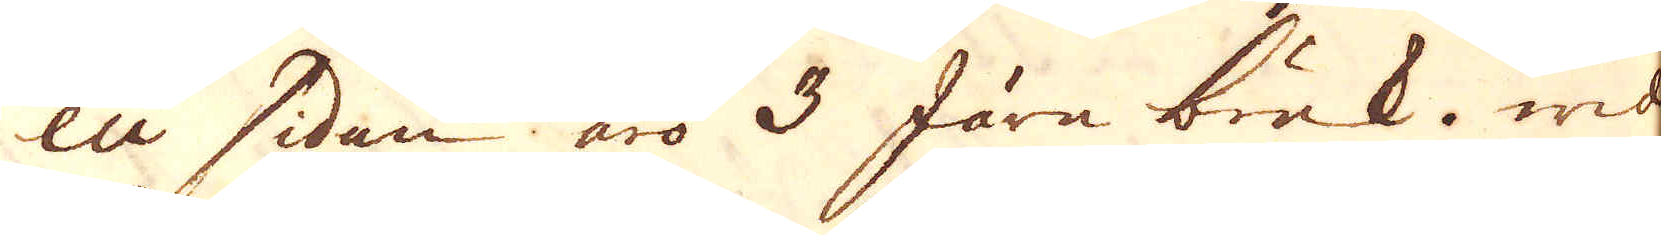eu sidan äro 3 Järn bruk. wid
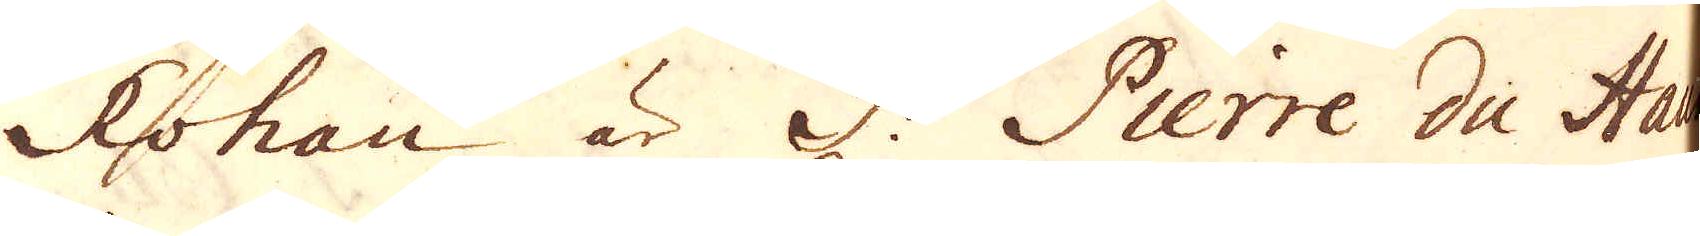Rohan är S:t Pierre du Haug
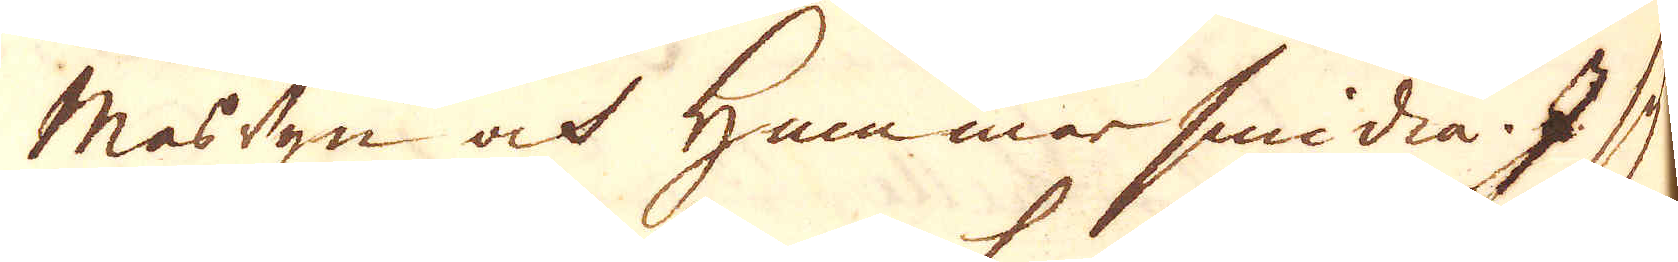Masugn och Hammar smidia. I sy-
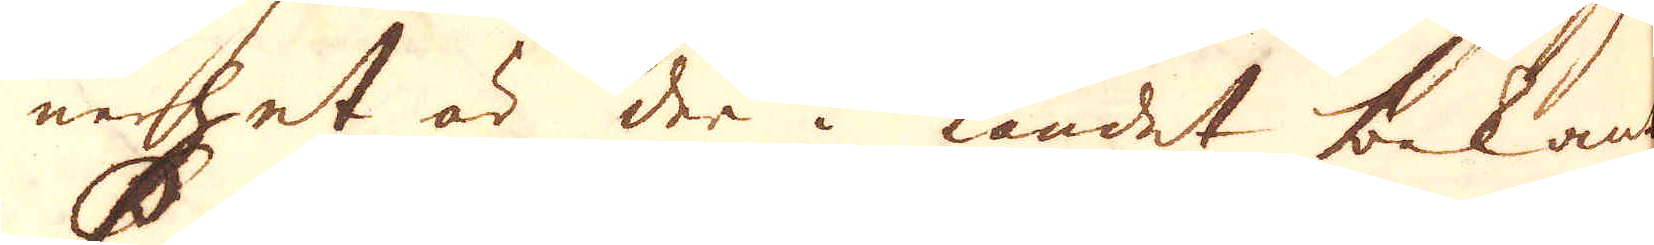nerhet är der i landet bekant
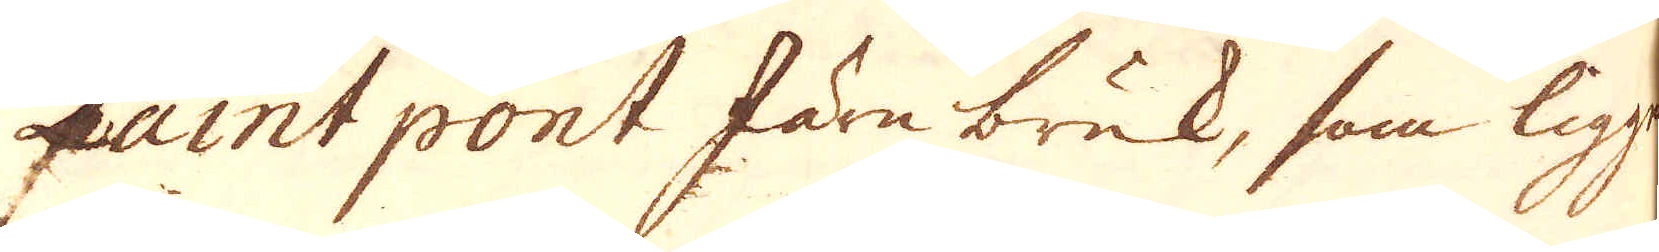Paintpont Järnbruk, som ligger
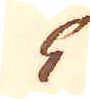5
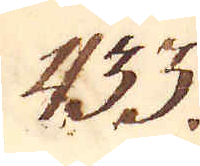433.
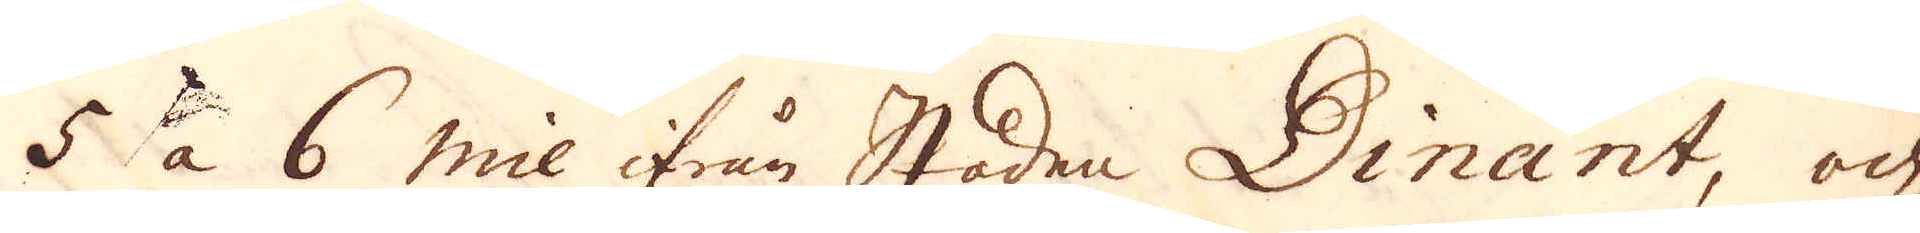5 à 6 mil ifrån Staden Dinant, och
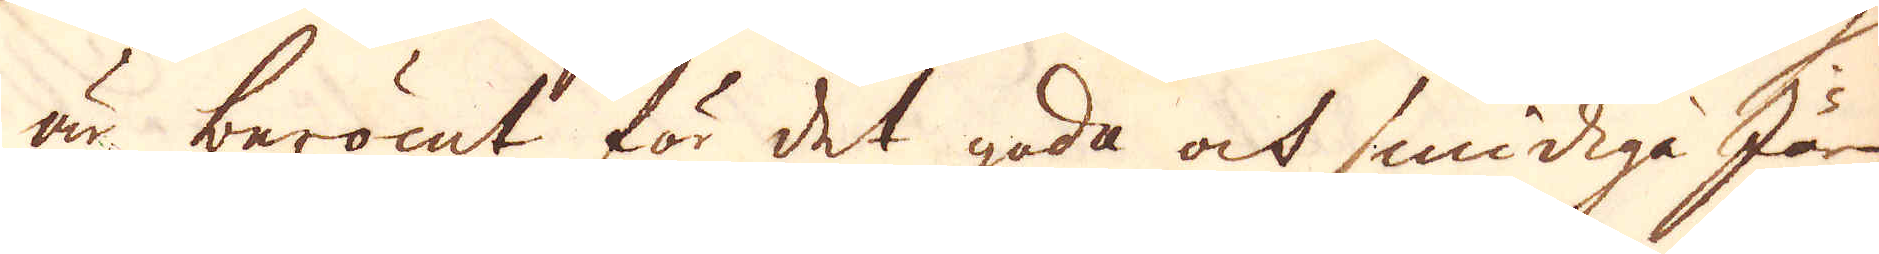är berömt för det goda ock smidiga Järn
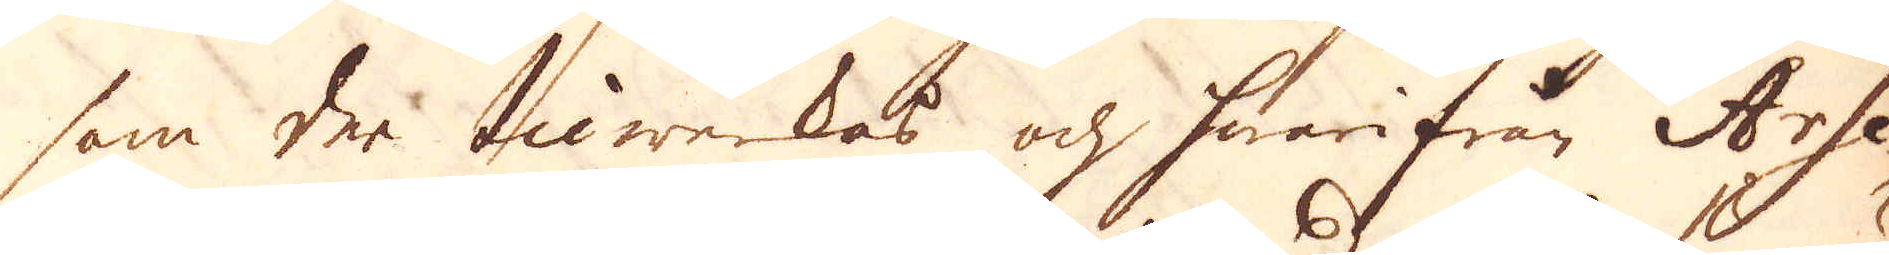som der tilwerkas och hwarifrån Arse-
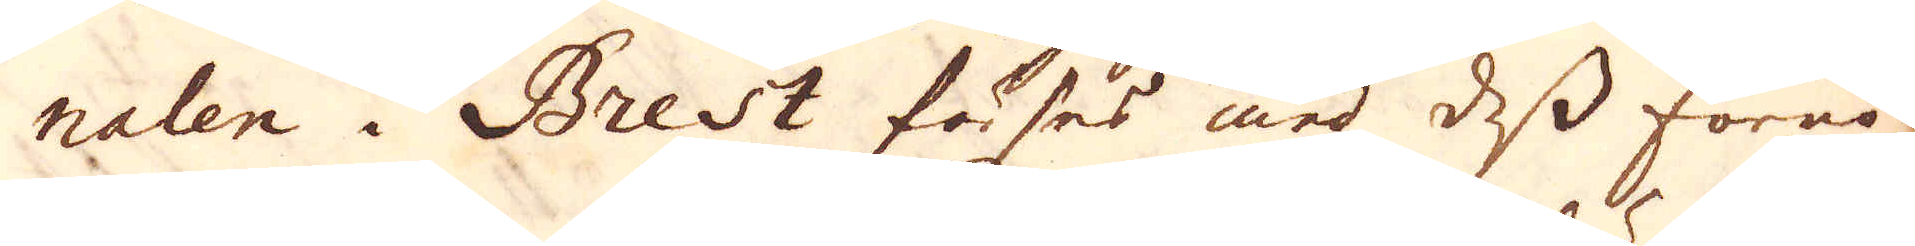nalen i Brest förses med dess förnö-
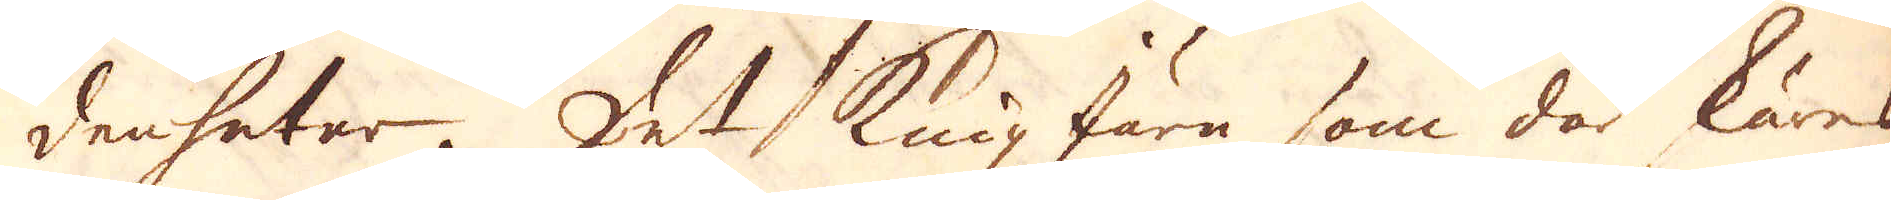denheter. Det knipjärn som där skäres
